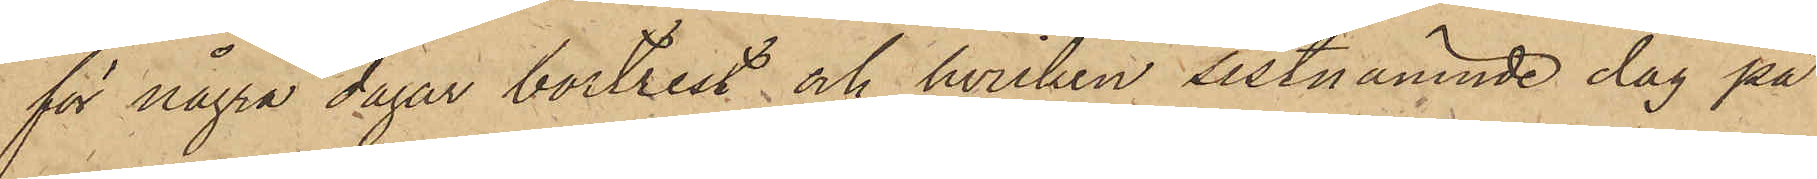för några dagar bortrest och hvilken sistnämnde dag på
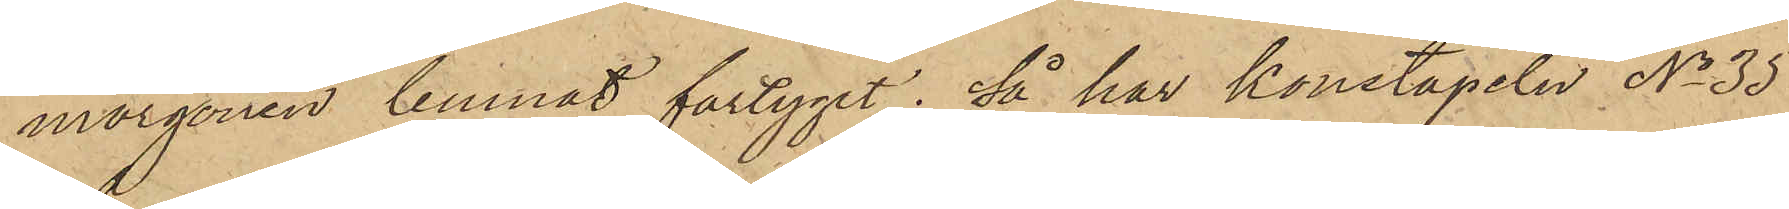morgonen lemnat fartyget; så har Konstapeln No 35
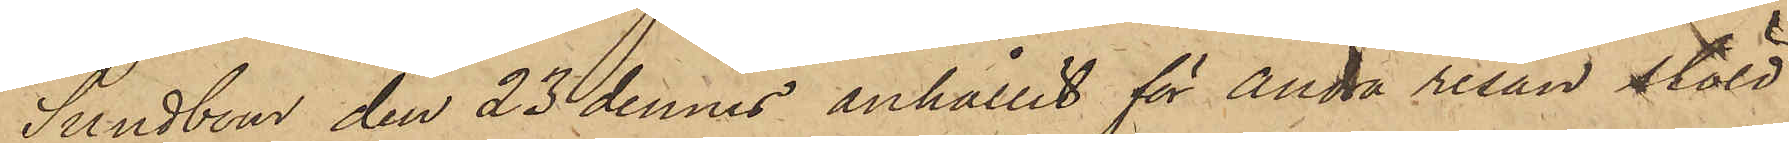Sundbom den 23 dennes anhållit för andra resan stöld
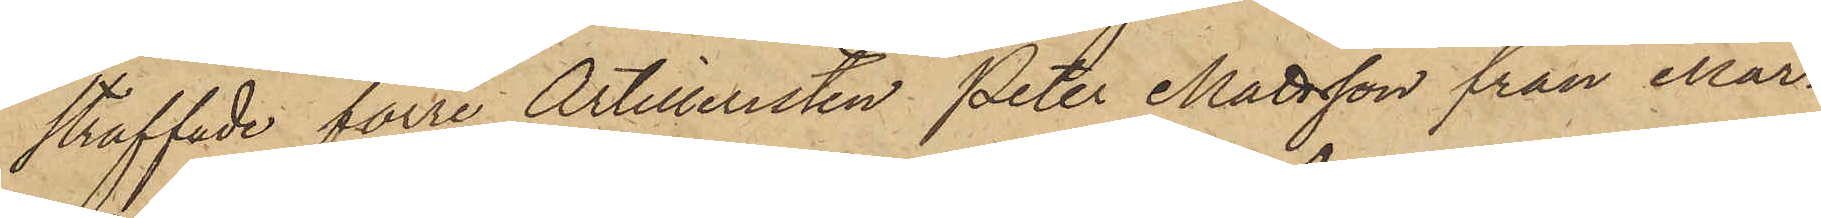straffade förre Artilleristen Peter Mattsson från Mar¬
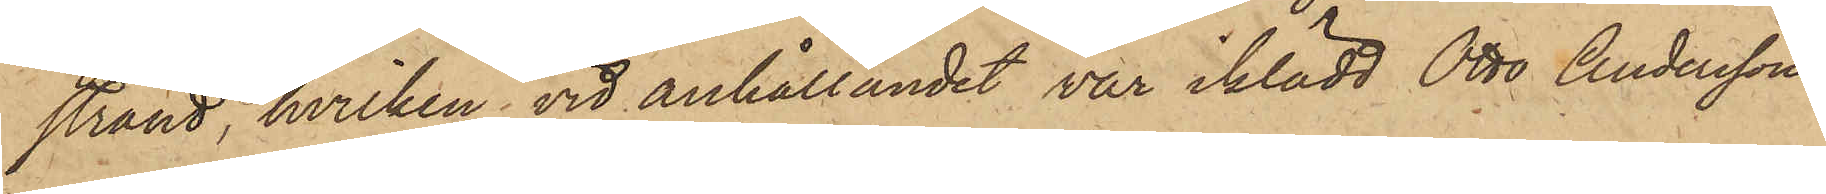strand, hvilken vid anhållandet var iklädd Otto Anderssons
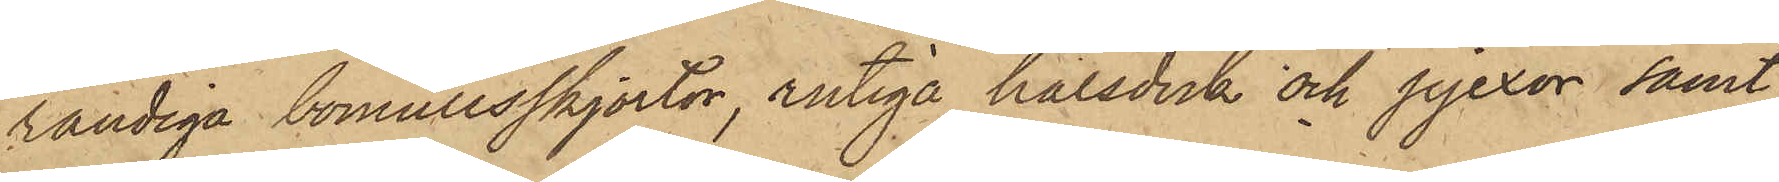randiga bomullsskjortor, rutiga halsduk och pjexor samt
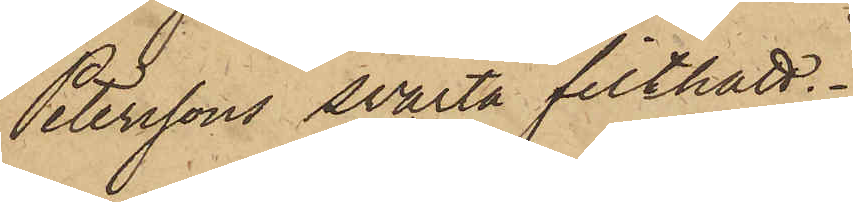Peterssons svarta filthatt.
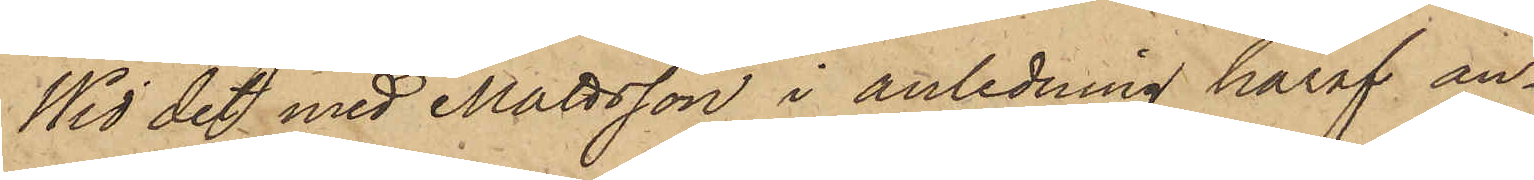Wid det med Mattsson i anledning häraf an¬
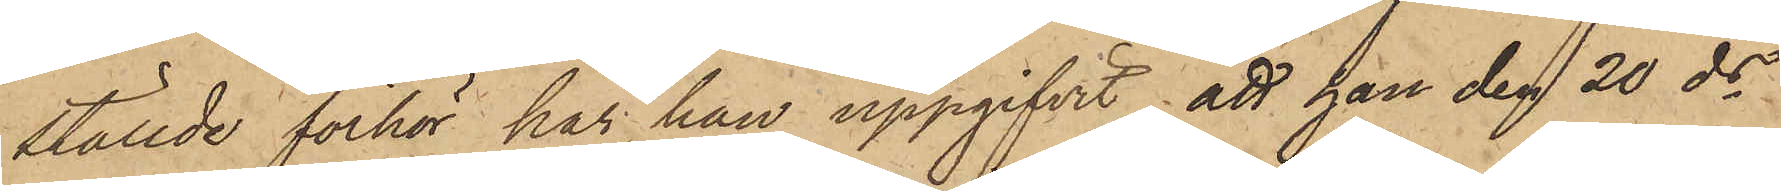ställde förhör, har han uppgifvit, att han den 20 ds
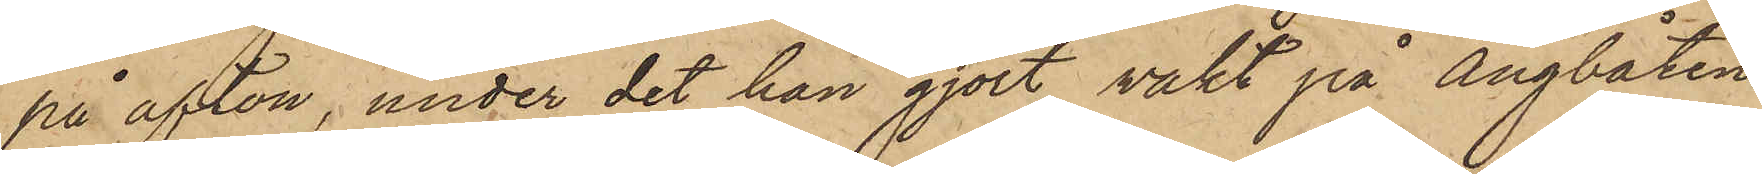på afton, under det han gjort vakt på Ångbåten
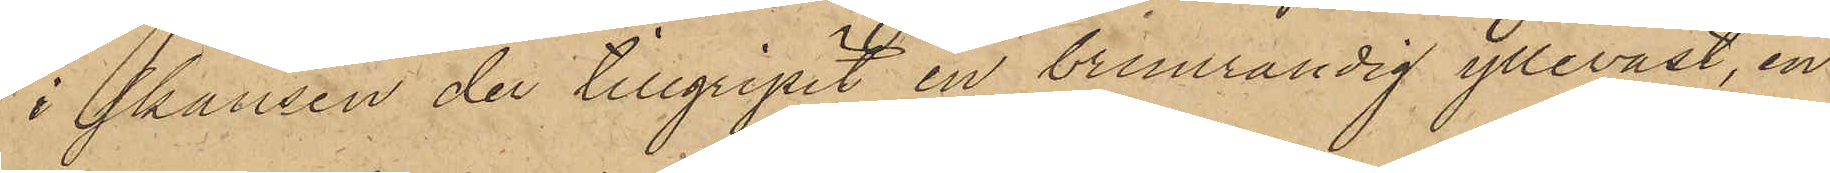i skansen der tillgripit en brunrandig ylleväst, en
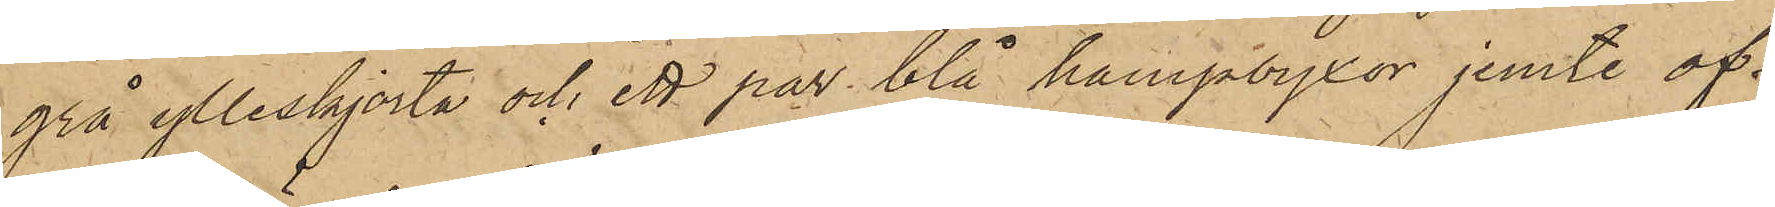grå ylleskjorta och ett par blå hampbyxor jemte öf¬
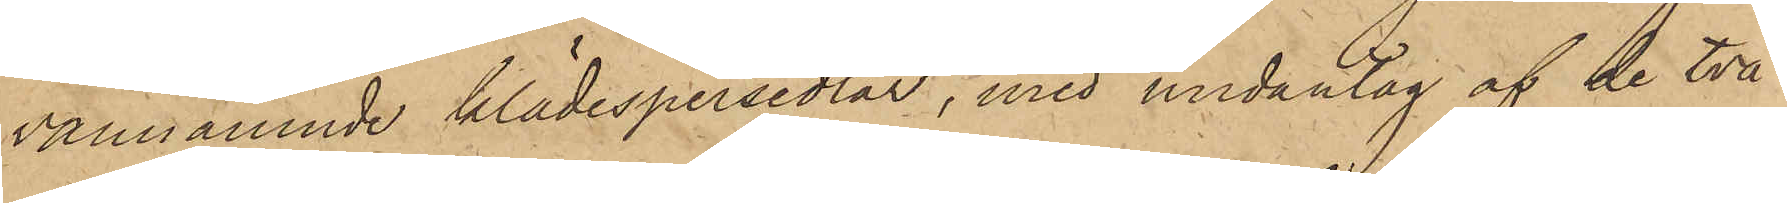vannämnde klädespersedlar, med undantag af de två
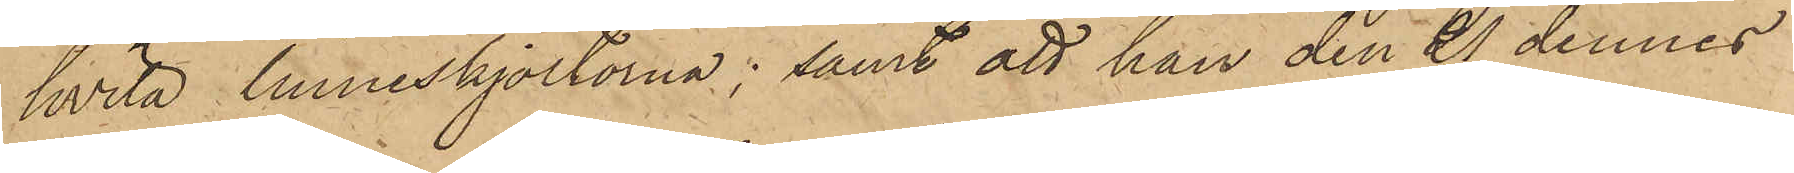hvita linneskjortorna; samt att han den 21 dennes
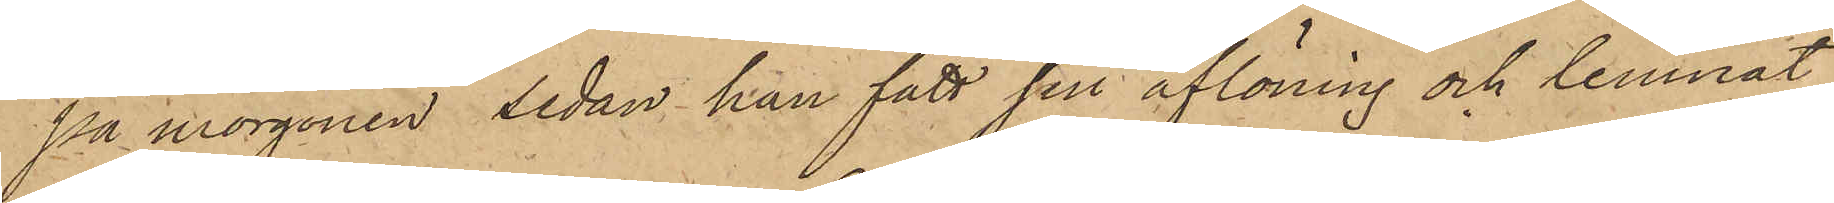på morgonen sedan han fått sin aflöning och lemnat
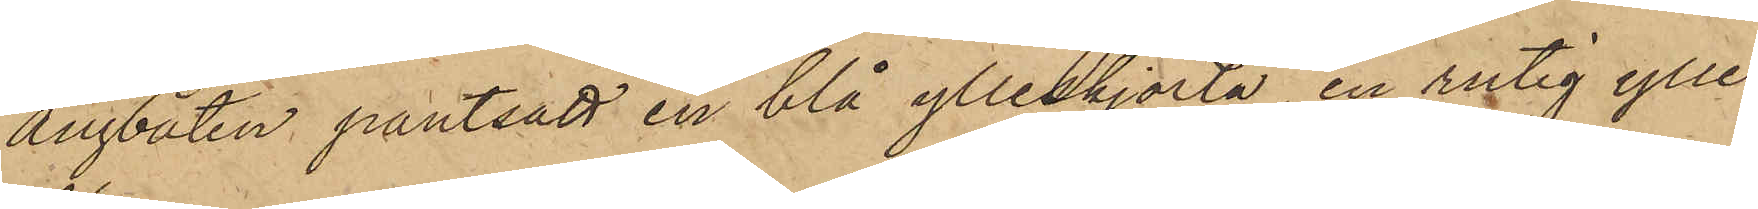Ångbåten pantsatt en blå ylleskjorta, en rutig ylle¬
